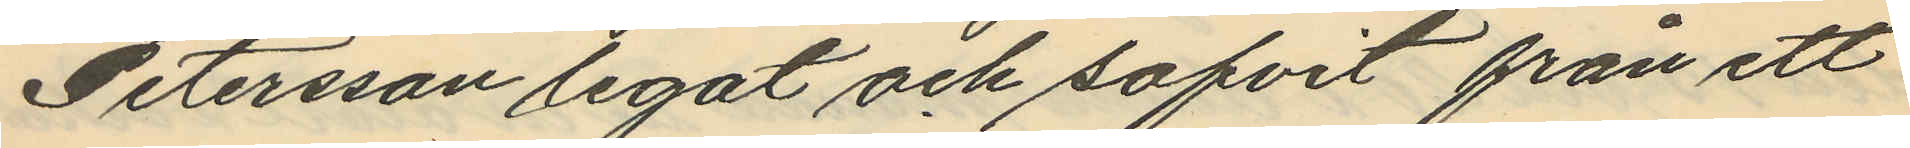Petersson legat och sofvit från ett
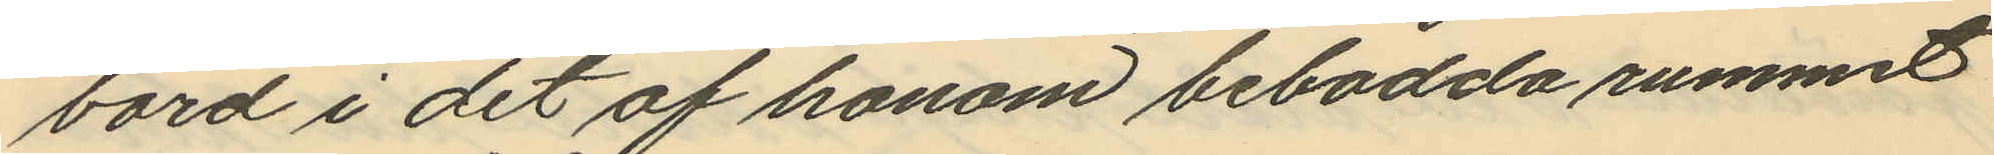bord i det af honom bebodda rummet
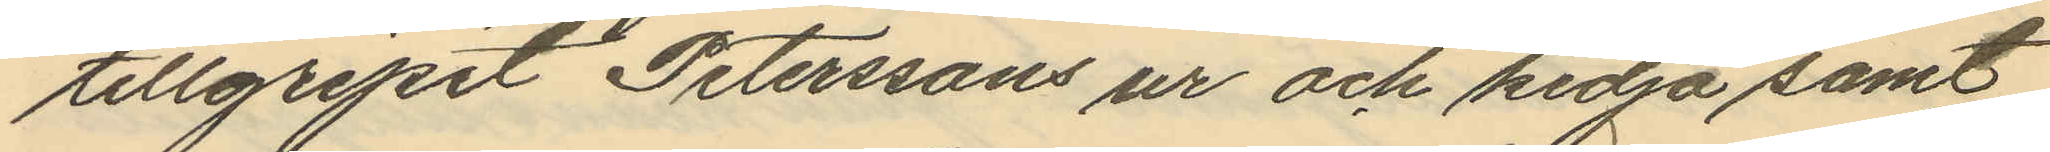tillgripit Peterssons ur och kedja samt
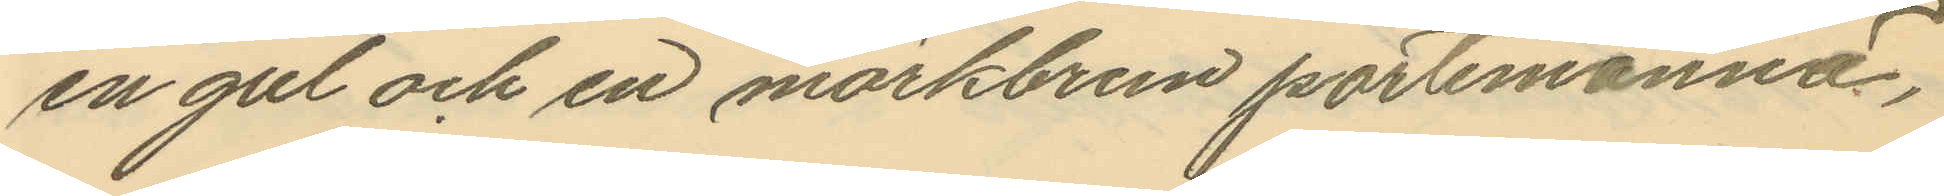en gul och en mörkbrun portemonnä,
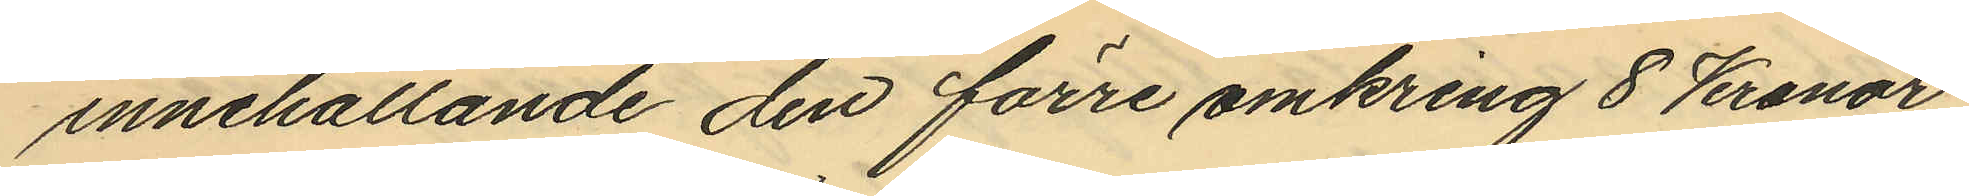innehållande den förre omkring 8 Kronor
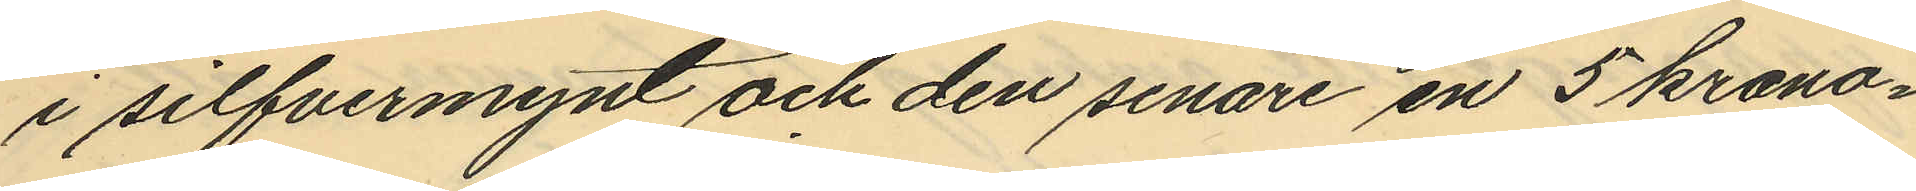i silfvermynt och den senare en 5 krono¬
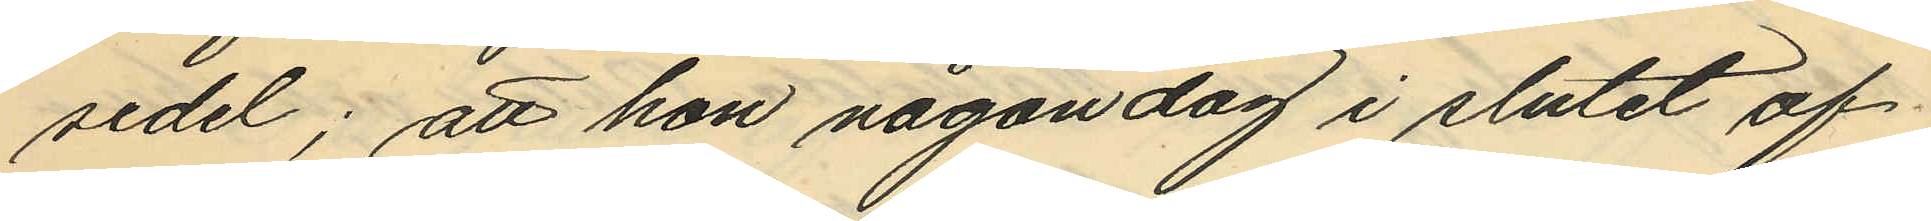sedel; att hon någon dag i slutet af
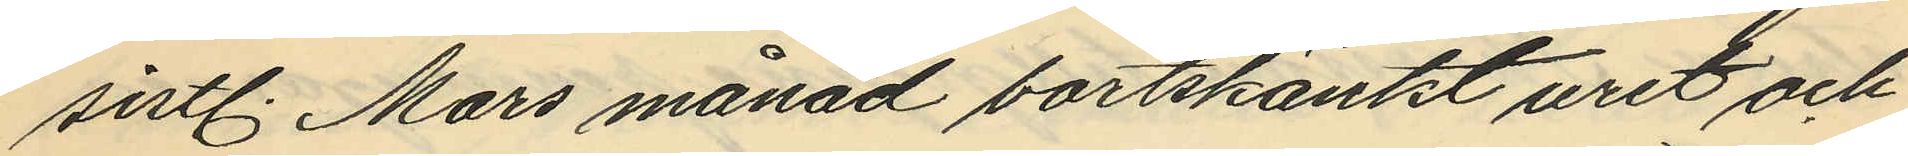sistl. Mars månad bortskänkt uret och
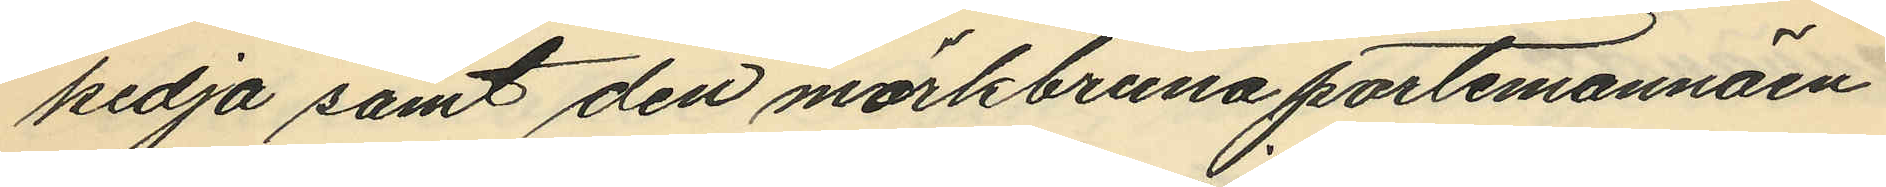kedja samt den mörkbruna portemonnäen
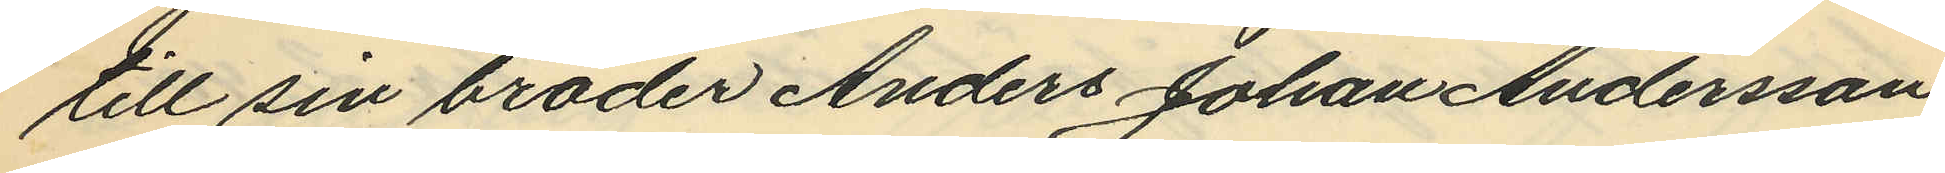till sin broder Anders Johan Andersson
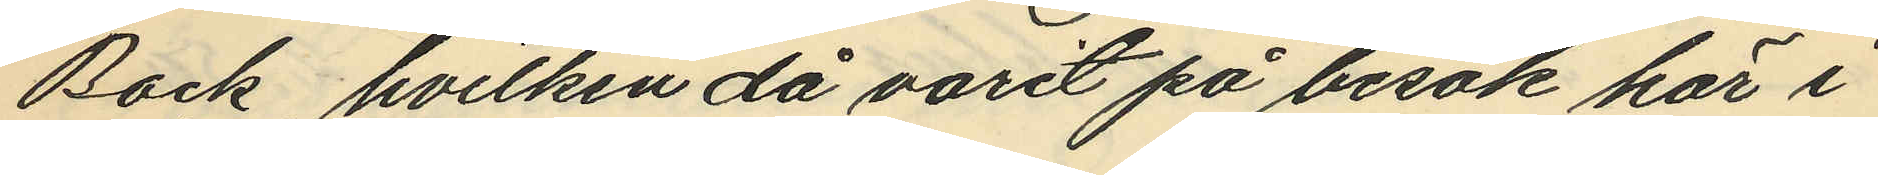Back, hvilken då varit på besök här i
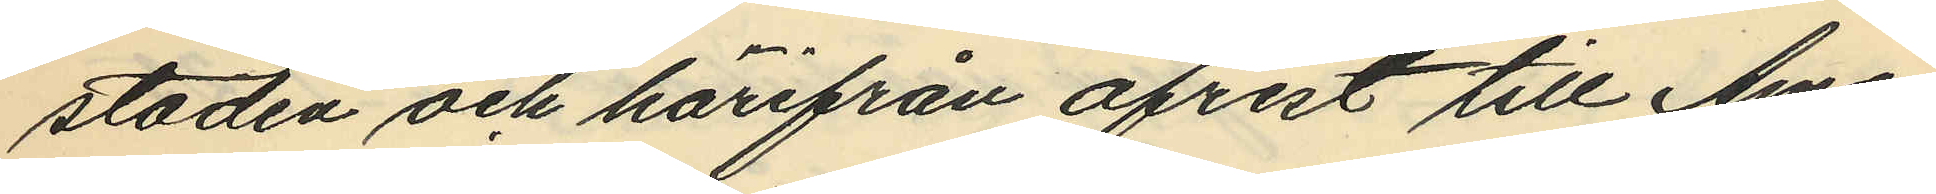staden och härifrån afrest till Ame¬
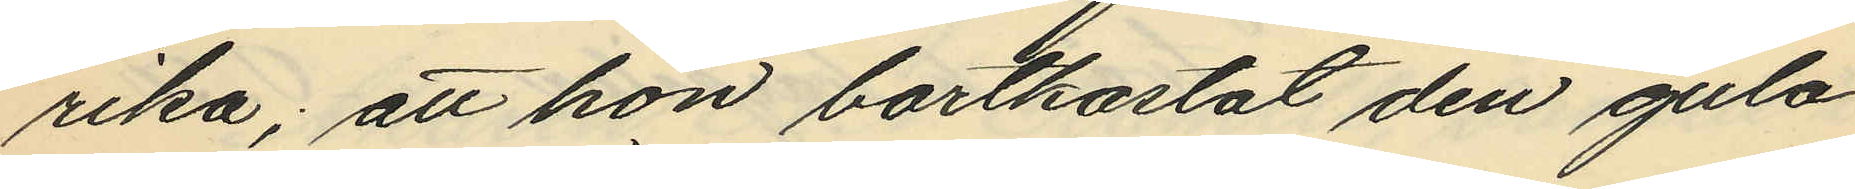rika; att hon bortkastat den gula
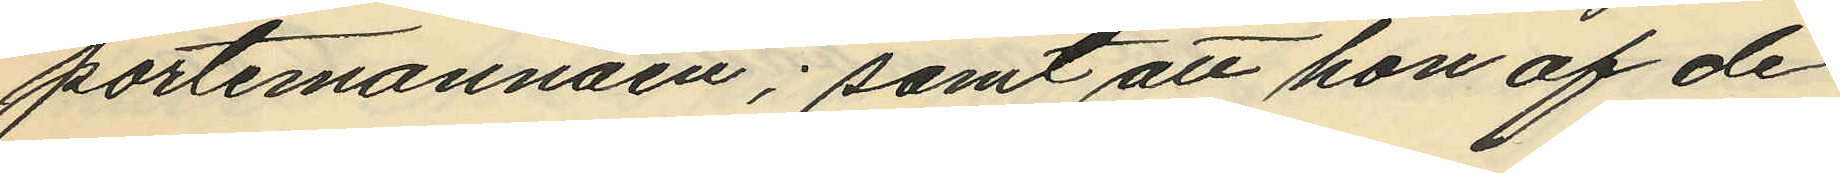portemonnäen; samt att hon af de
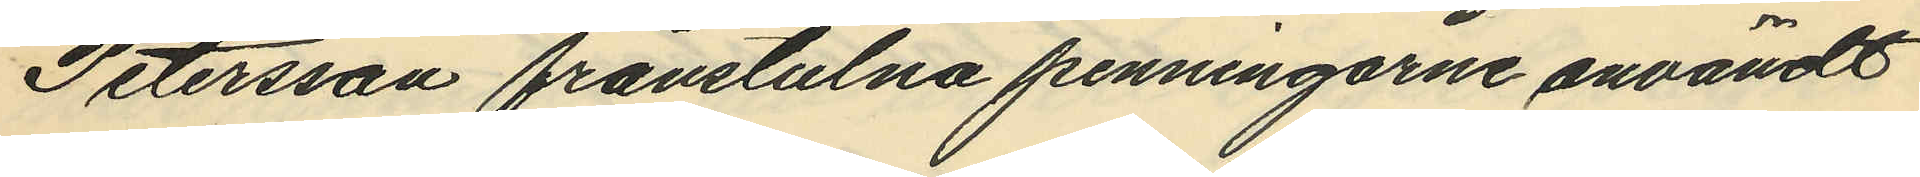Petersson frånstulna penningarne användt
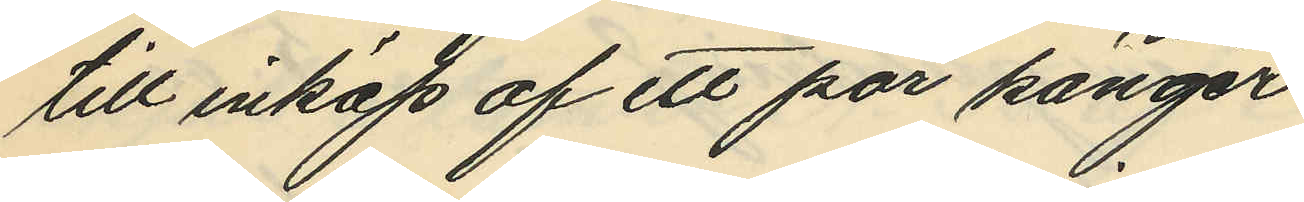till inköp af ett par känger
